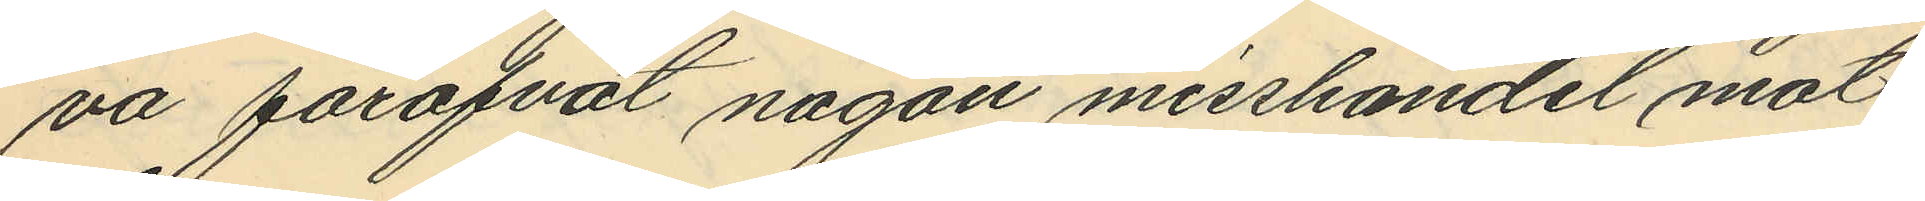va föröfvat någon misshandel mot
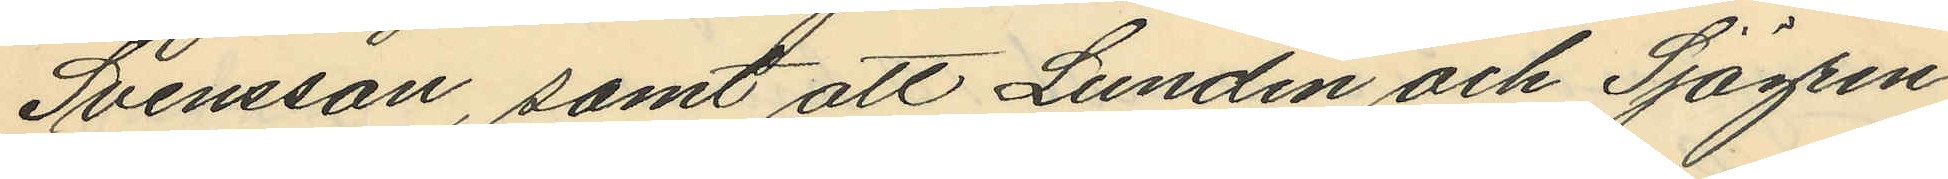Svensson, samt att Lundin och Sjögren
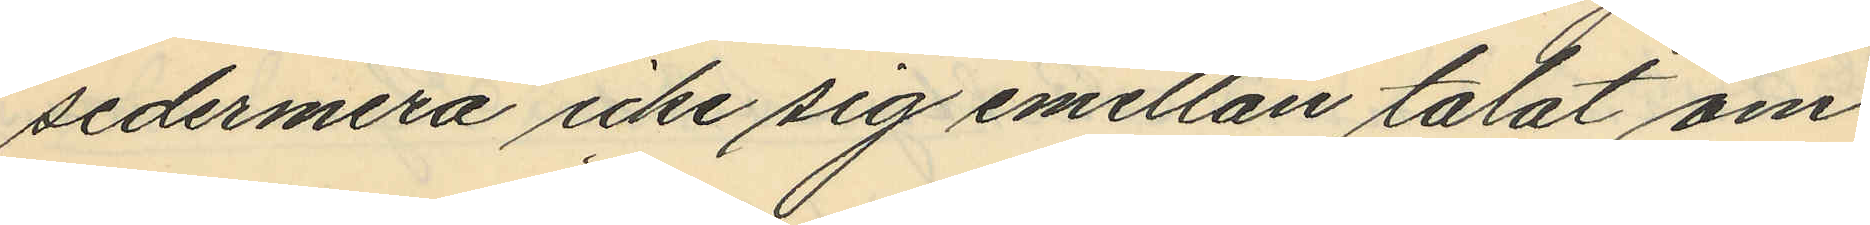sedermera icke sig emellan talat om
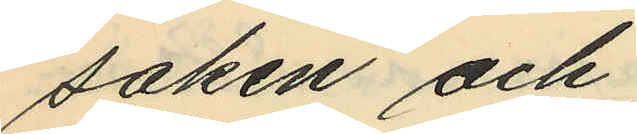saken och
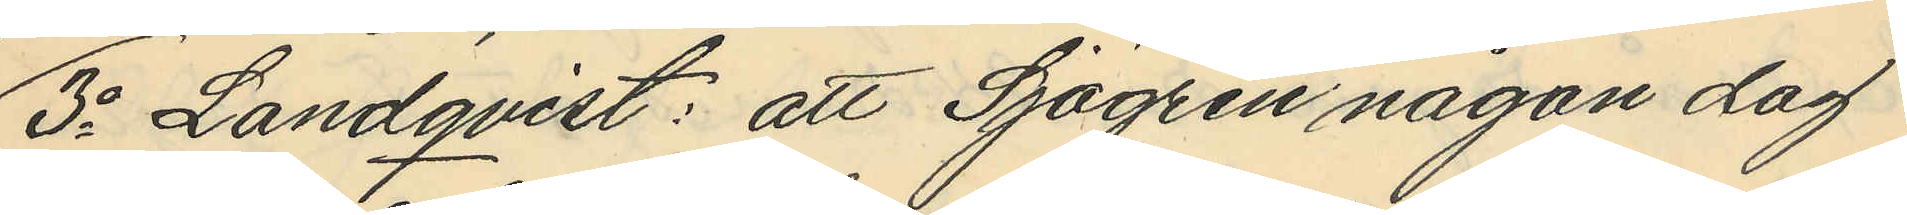3o Landqvist: att Sjögren någon dag
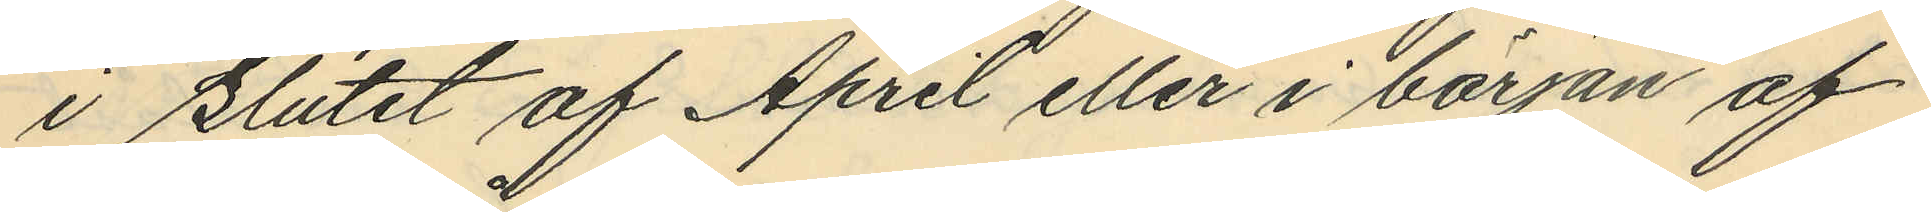i slutet af April eller i början af
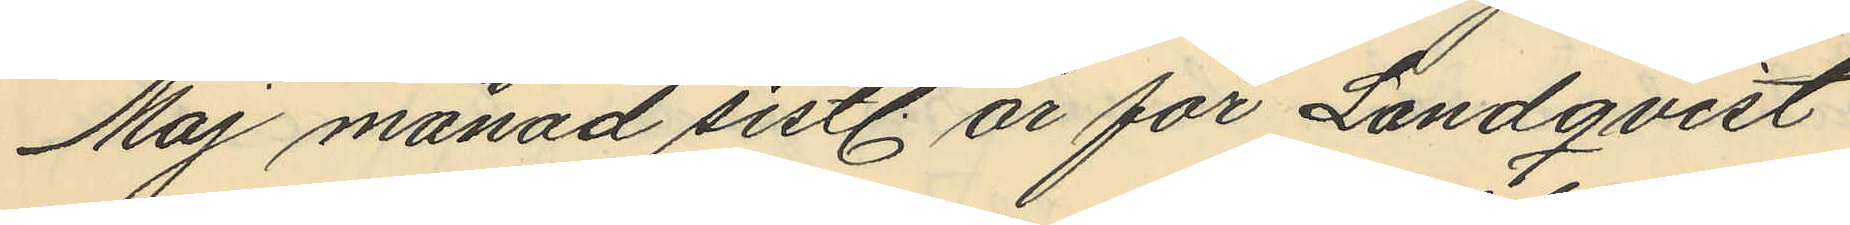Maj månad sistl. år för Landqvist
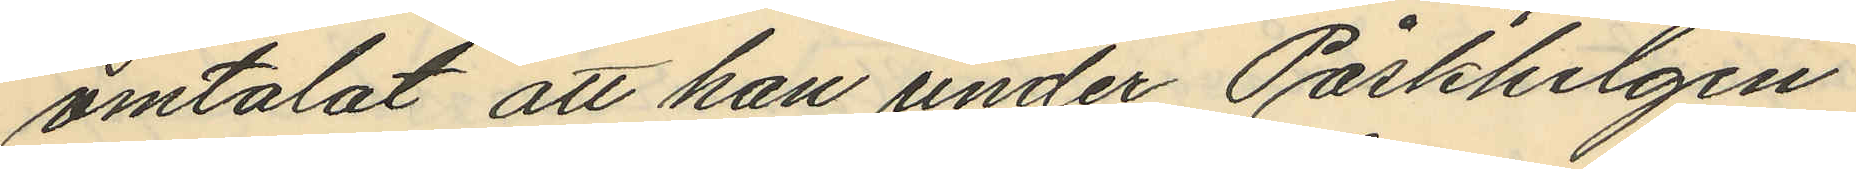omtalat att han under Påskhelgen
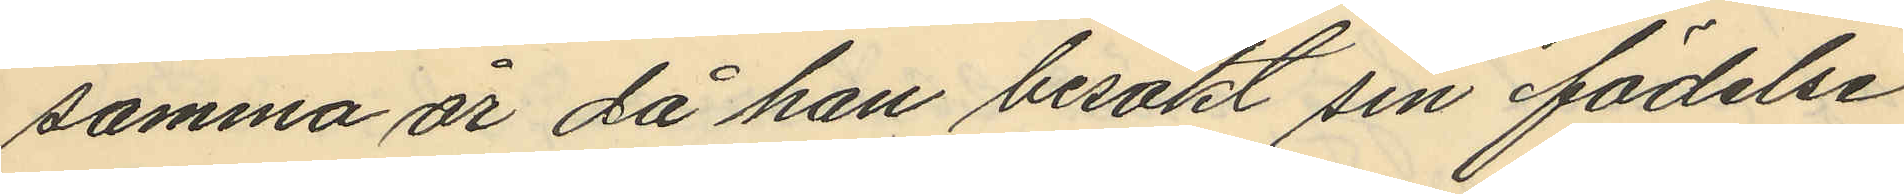samma är då han besökt sin födelse¬
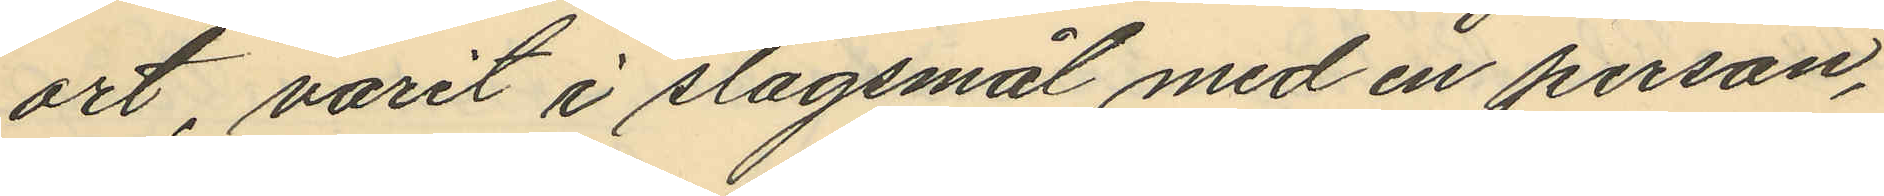ort, varit i slagsmål med en person,
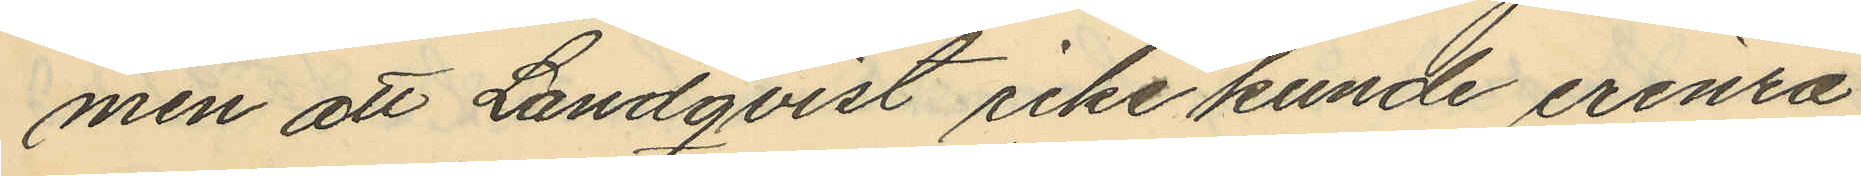men att Landqvist icke kunde erinra
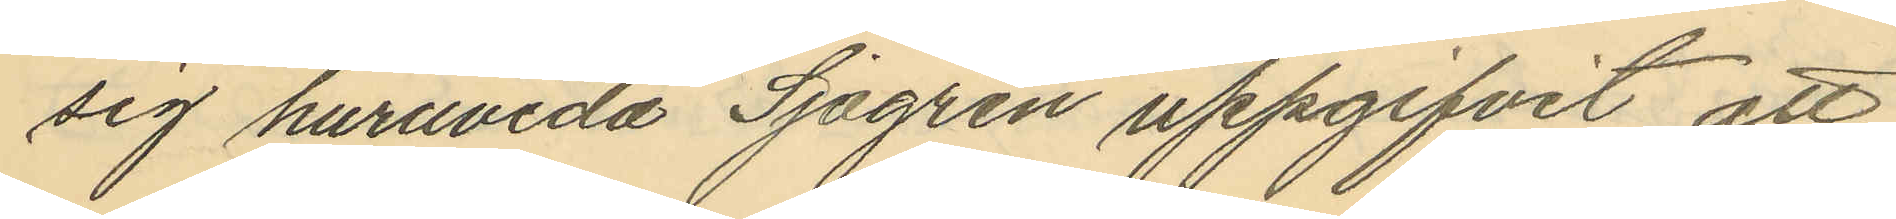sig huruvida Sjögren uppgifvit att
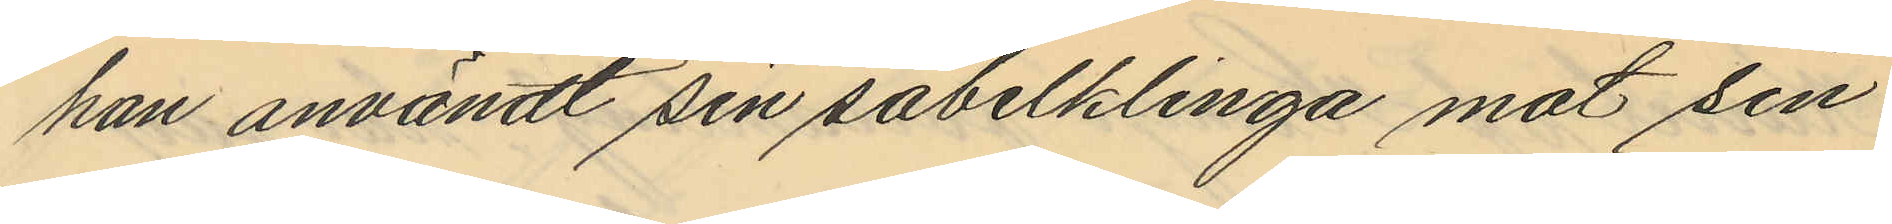han användt sin sabelklinga mot sin
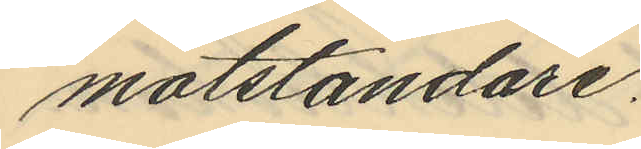motståndare.
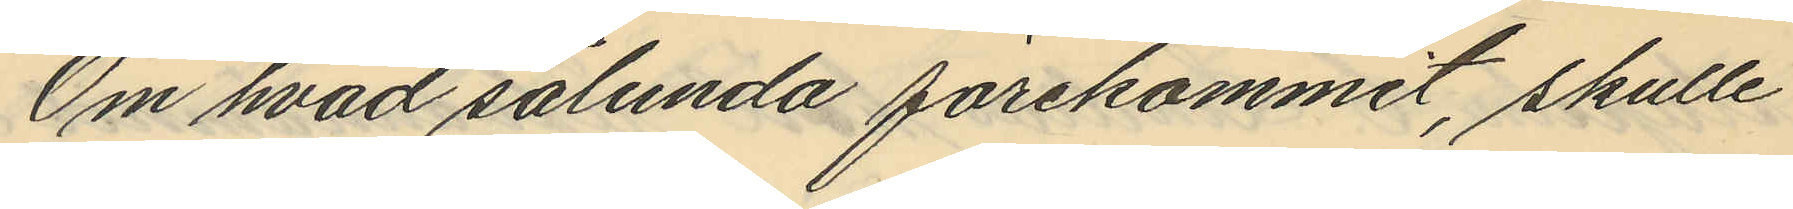Om hvad sålunda förekommit, skulle
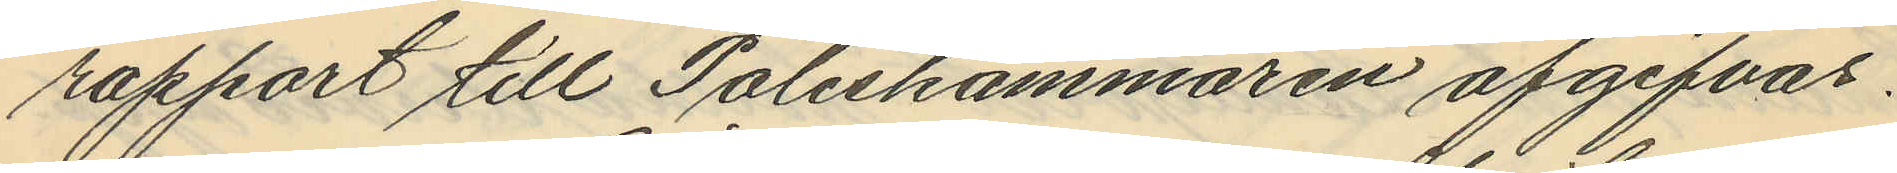rapport till Poliskammaren afgifvas.
